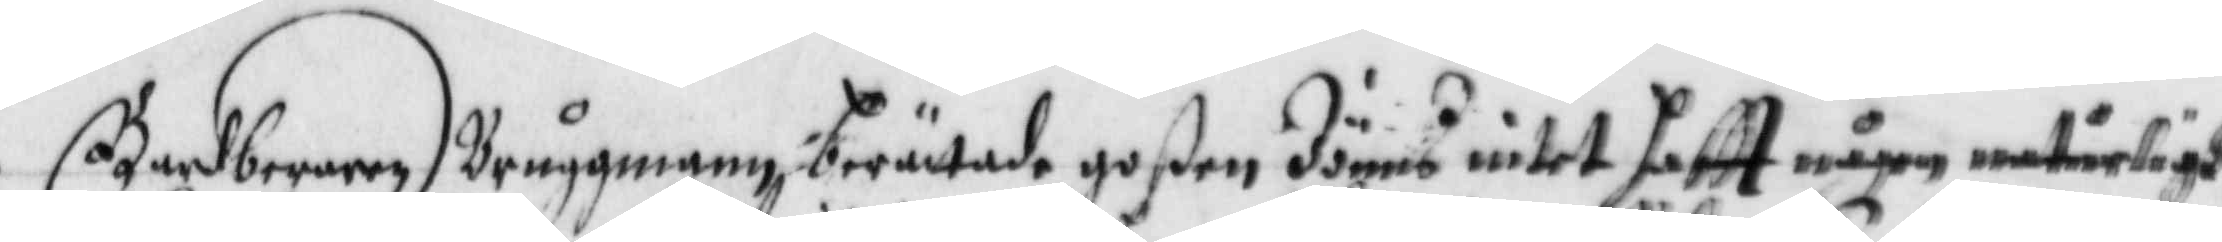Bardberaren Bryggman berättadegoßen Jönns intet haftt någon naturligh
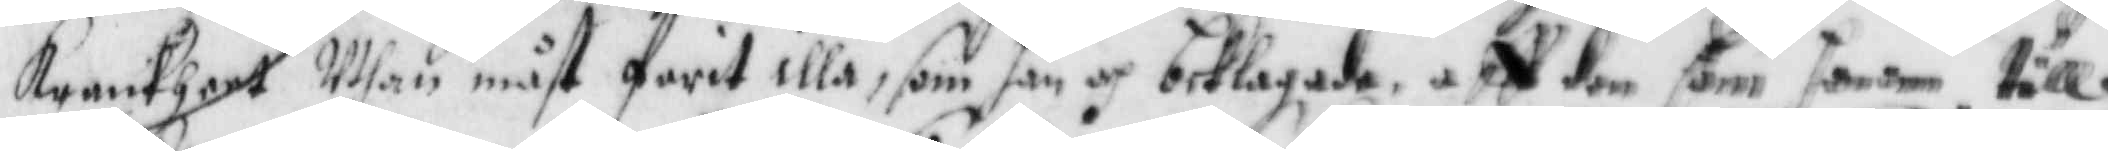Krankheet Uthan måst farit illa, som han och beklagade, aff dem som honom till
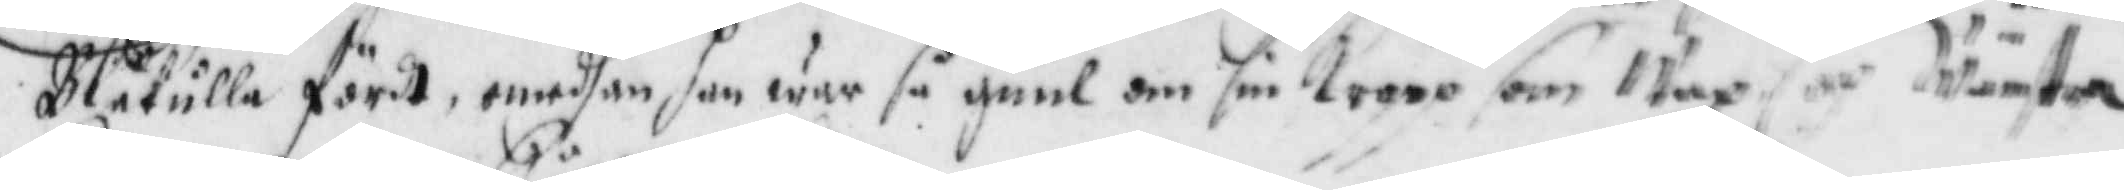Blåkulla fördt, emedhan hanwar så guul om sin Kropp som wax och Wänstra
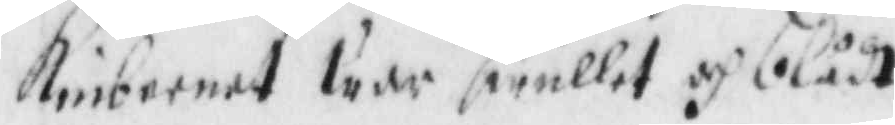Kinbeenet war swullet och blådt.
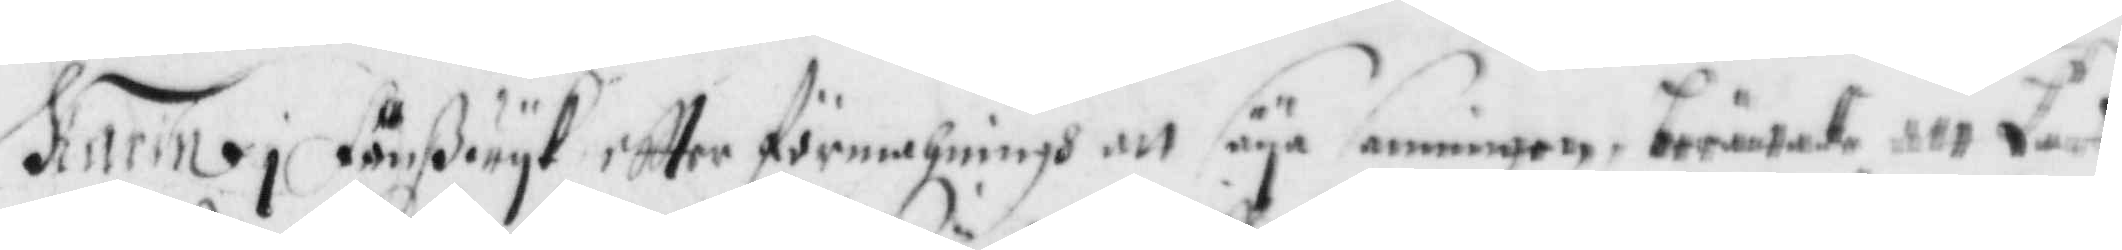Karin i Fänßwyk eftter förmahningh att säya sanningen, berättade att Lars
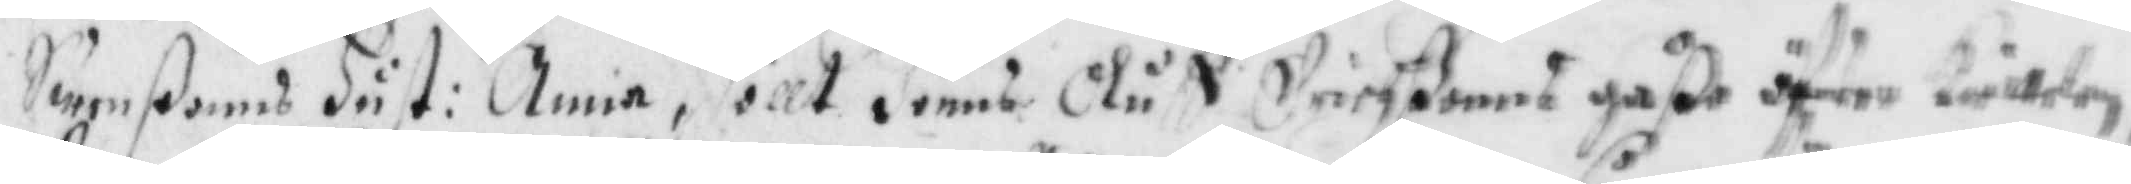Swenßons Hust: Anna, höllt Jönns Oluff Erichßons gåße öfwer Kiettelen,
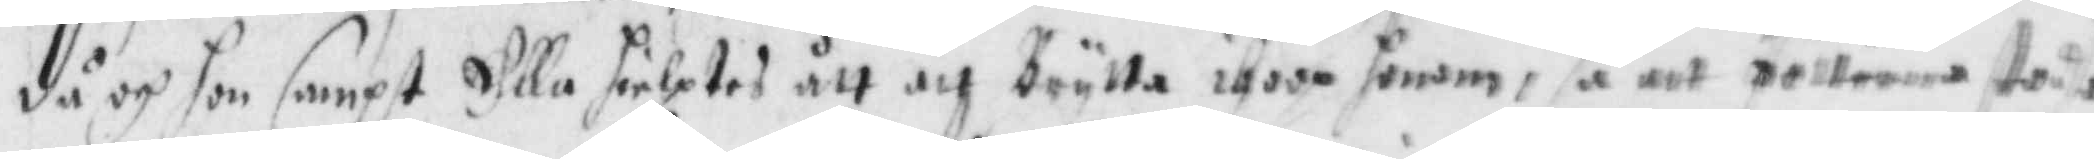då och hon sampt Ella hielptes ått och Brytta ihop honom, så att fötterne står
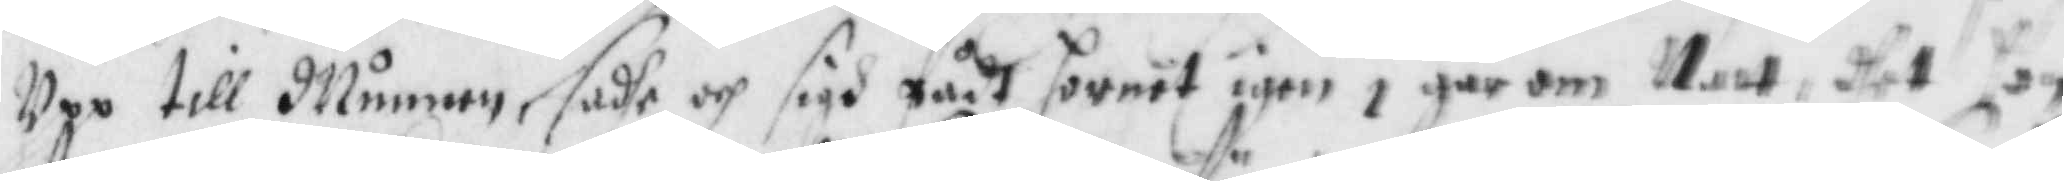Upp till Munnen, sadhe och sigh fådt hornet igen i går om Natt, dhet hon
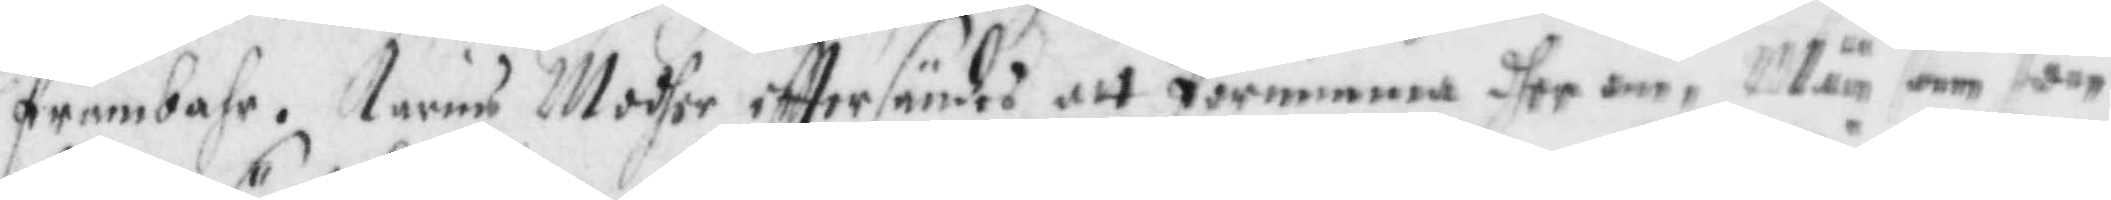frambahr. Karins Modher eftter sändes att förnimma dher om, Män som hon
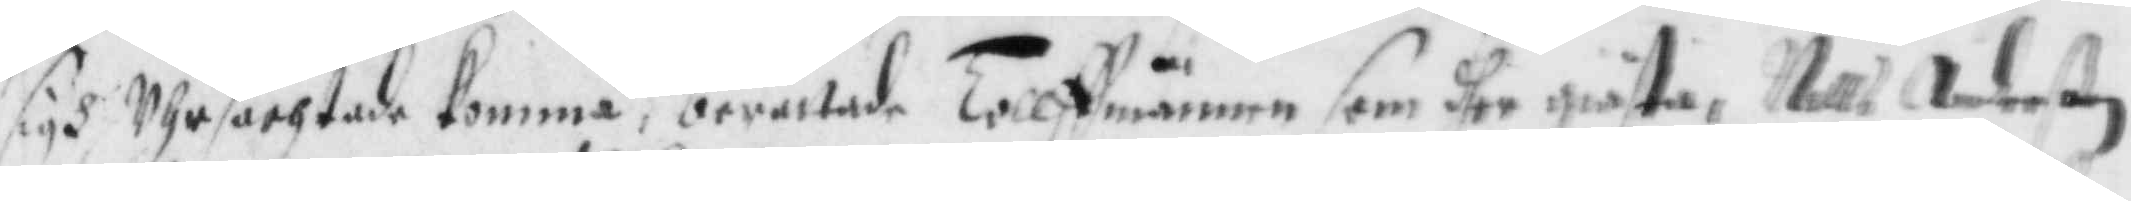sigh Uhrsächtade komma, berättade Tollffmännen som dher giästa, Nills Anderßon
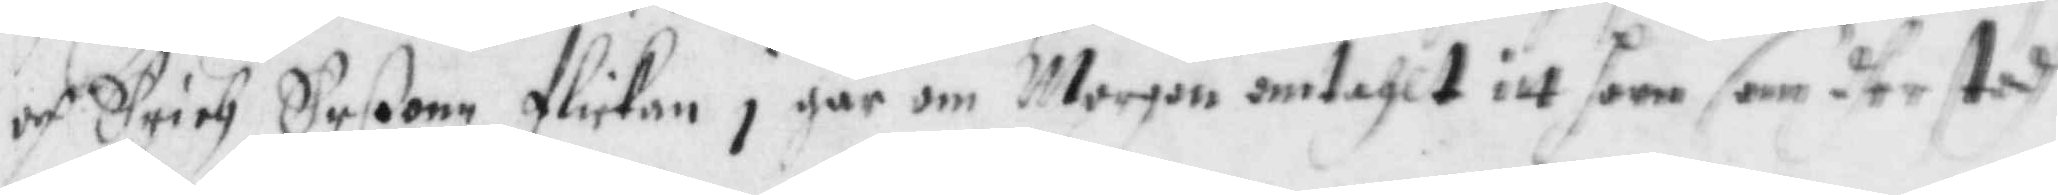och Erich erßonn flickan i går om Morgon omtahlt itt horn som dher stodh
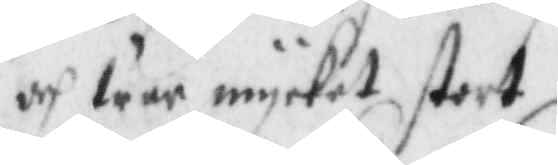och war mycket stort.
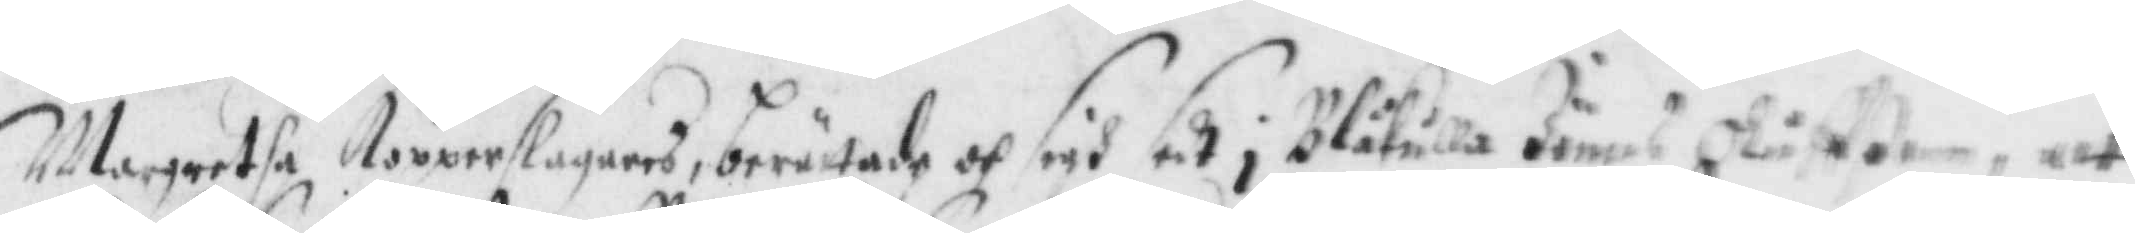Margretha Kopperslagares, berättade och sigh sedt i Blåkulla Jönns Oluffßon, att
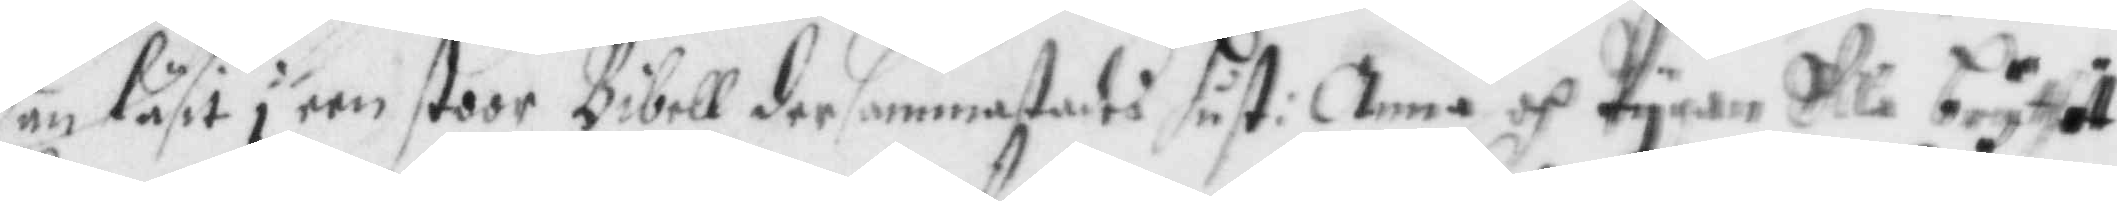han läsit i een stoor Bibel der sammastades hust: Anna och Pygan Ella brytet
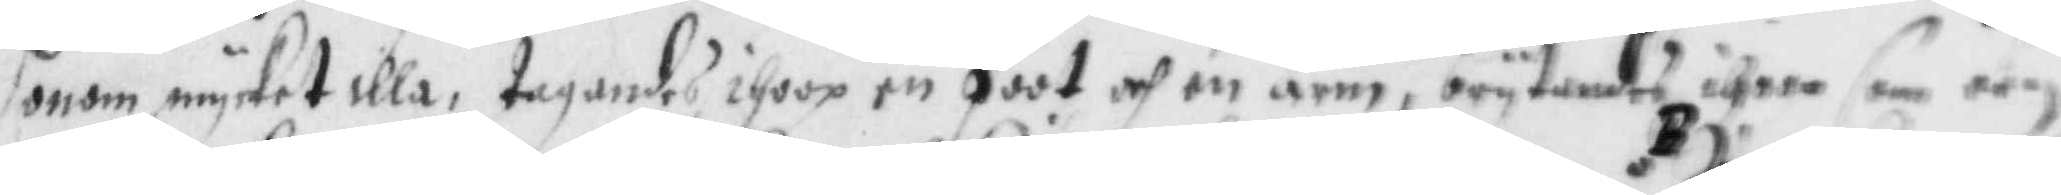honom mycket illa, tagandes ihoop en foot och en Arm, brytandes igen som een
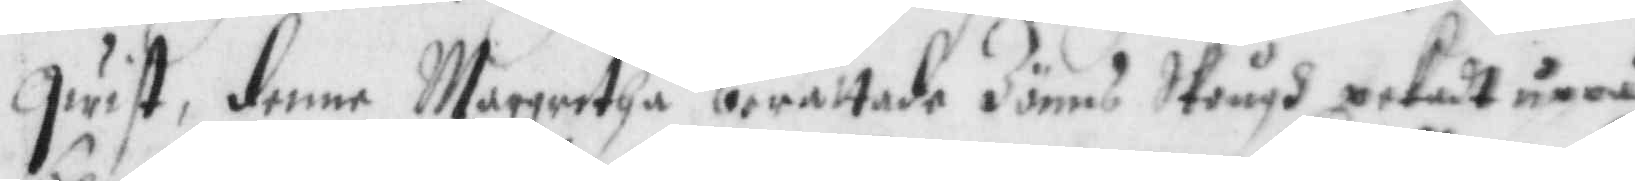qwist, denne Margretha berättade Jönns Skrugh pikadt uppå
